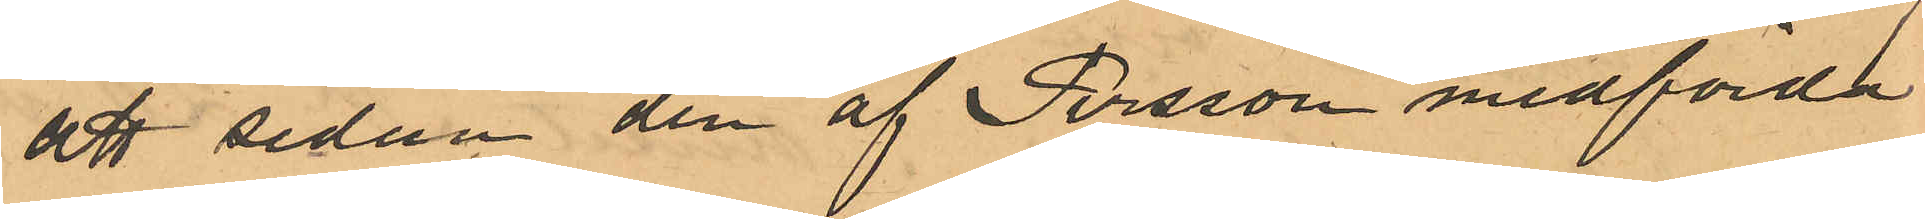att sedan den af Persson medförda
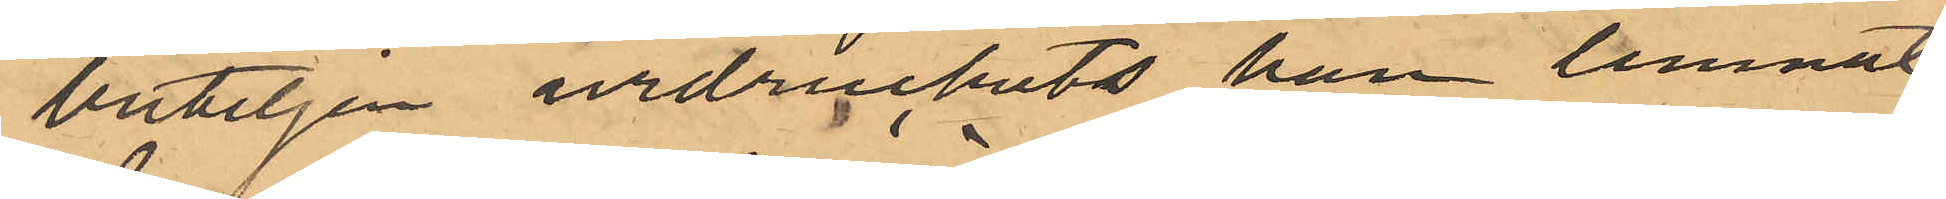buteljen urdruckits han lemnat
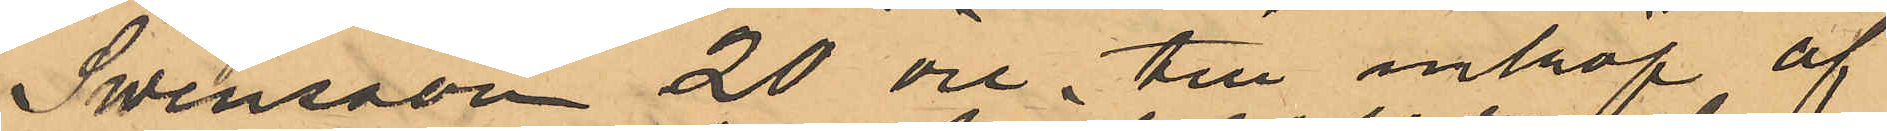Swensson 20 öre till inkröp af
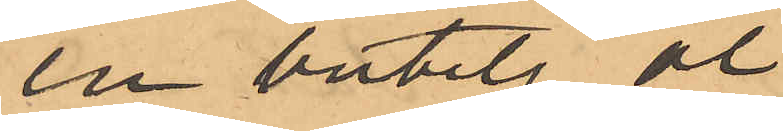en butetj öl,
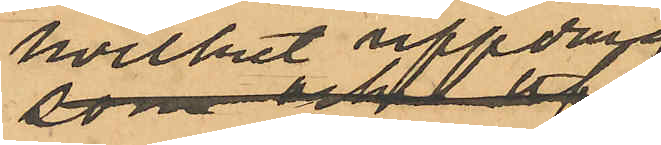hvilket uppdrag
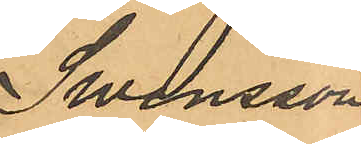Swensson
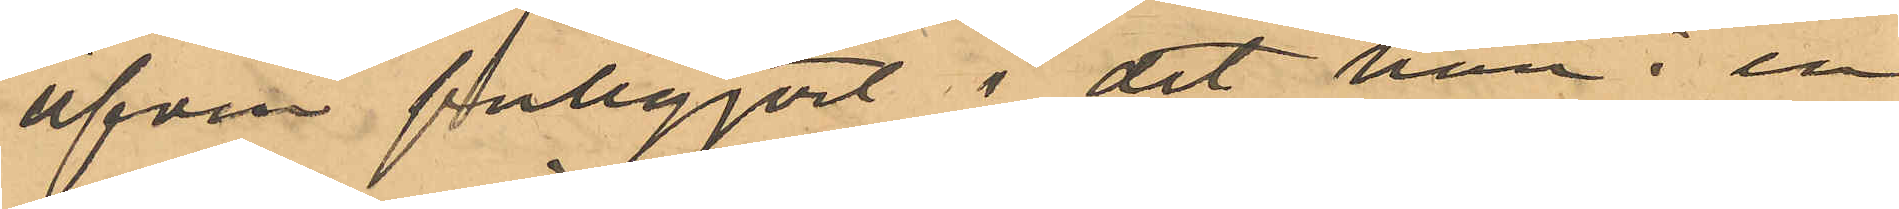äfven fullgjort i det han i en
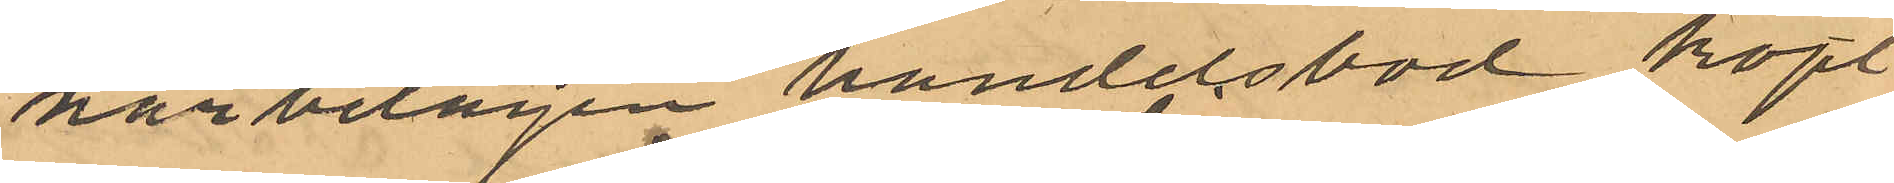närbelägen handelsbod köpt
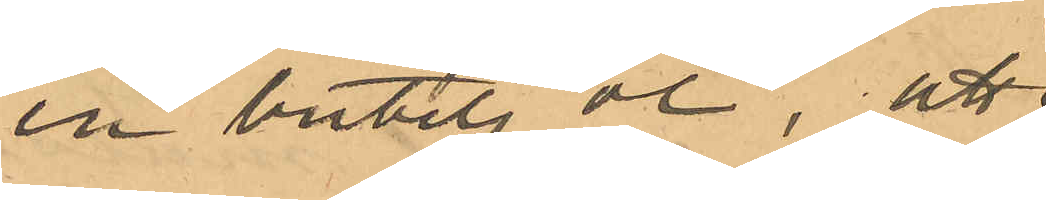en butelj öl, att
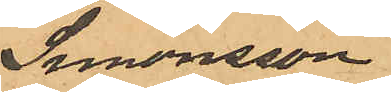Swensson
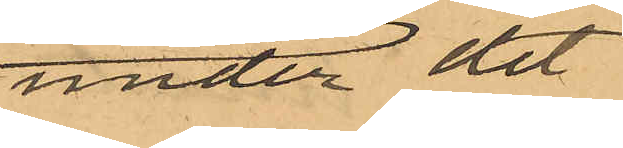under det
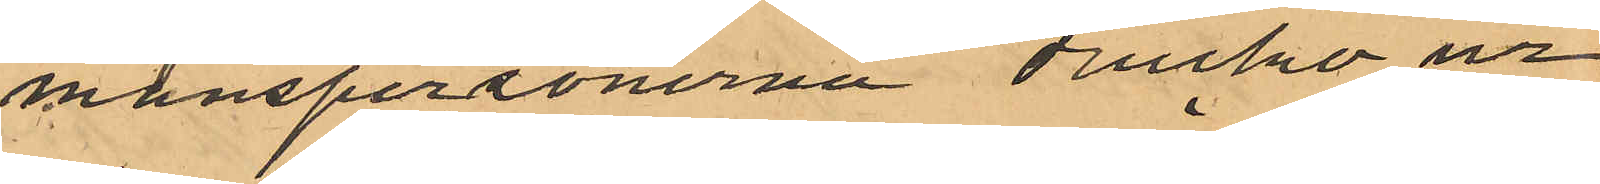manspersonerna drucko ur
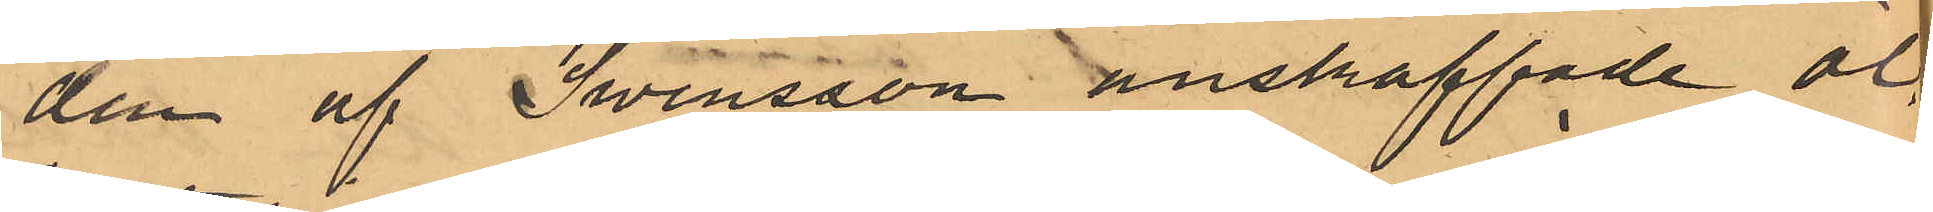den af Swensson anskaffade öl¬
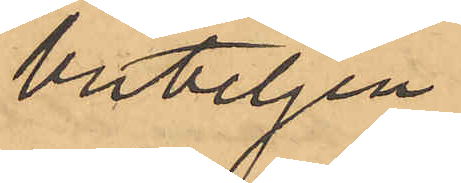buteljen
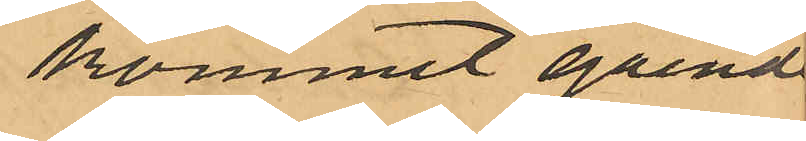kommit gående
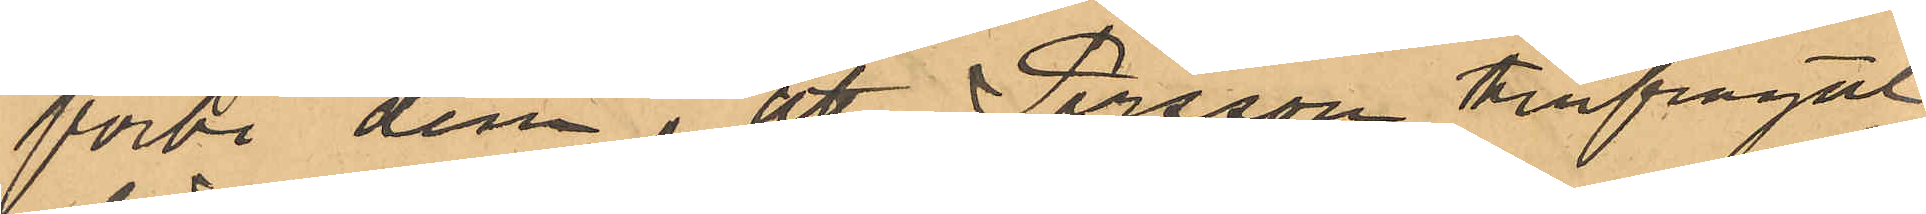förbi dem, att Persson tillfrågat
